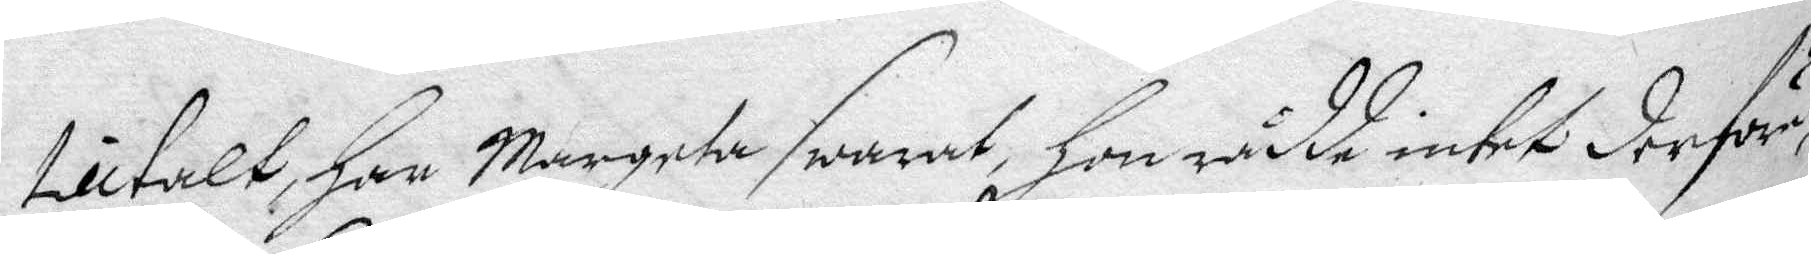tilltalt, han Margeta swarat, hon rådde intet derföre,
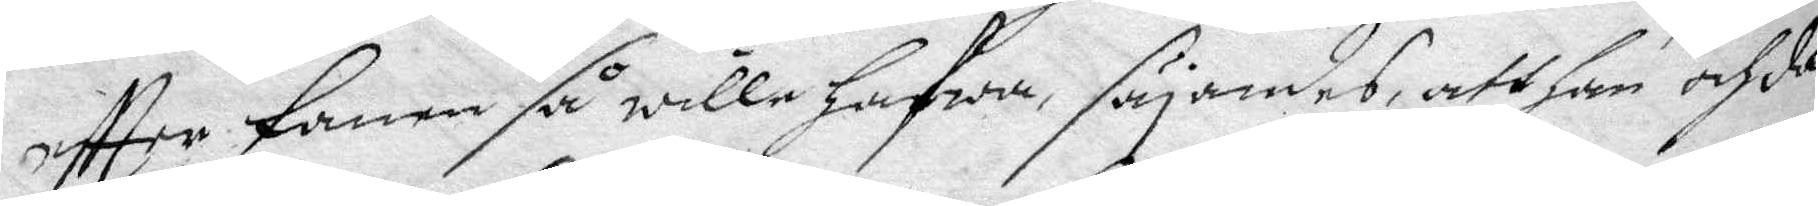eftter Fanen så wille hafwa, säyandes, att han och då
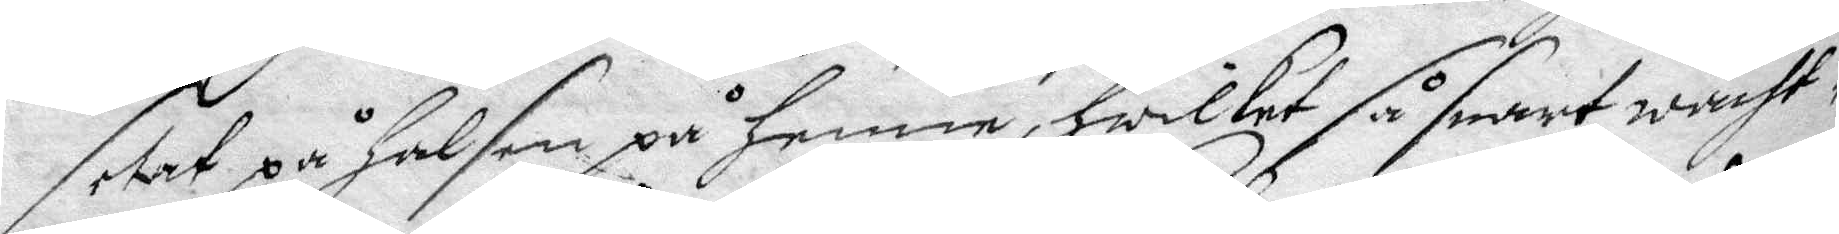setat på halsen på honom, hwilket så snart wacht¬
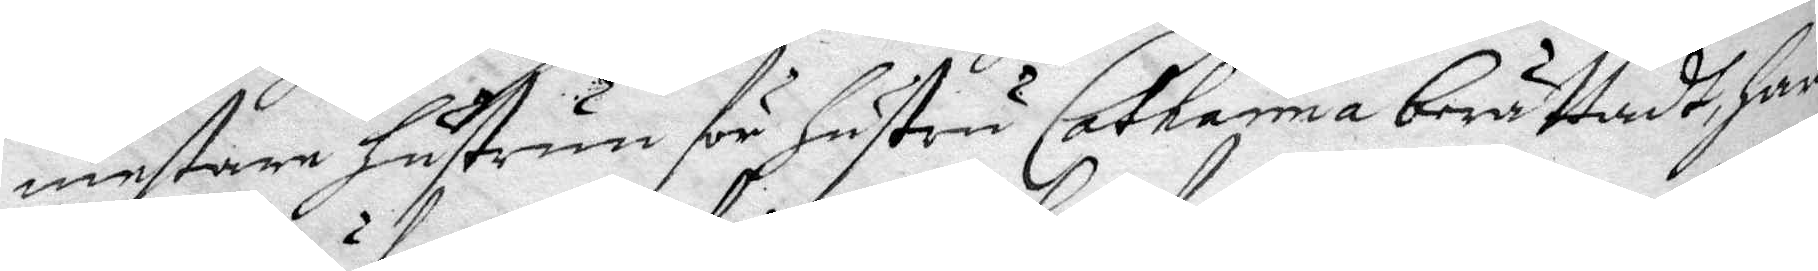mestare hustrun för hustru Catharina berättadt, har
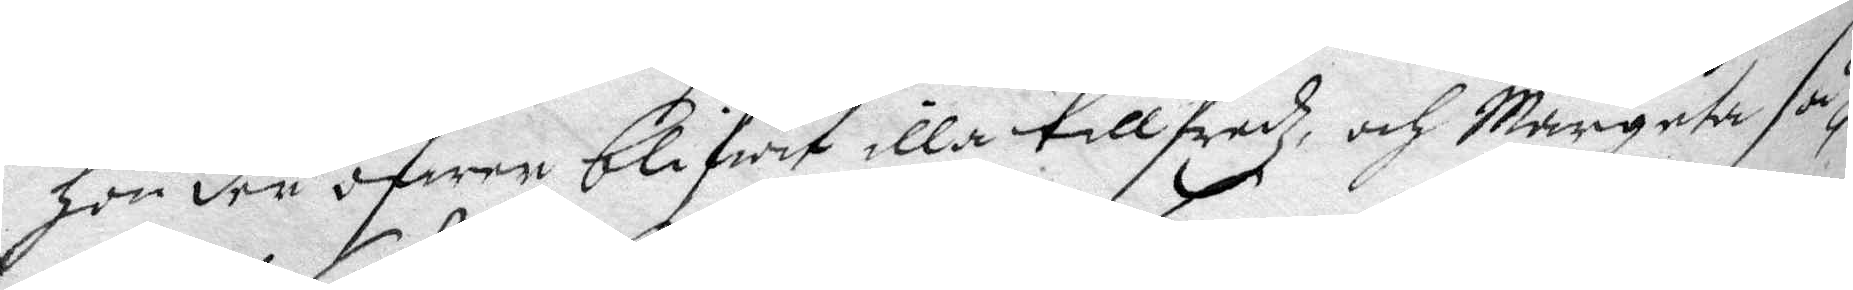hon den äfwen blifwit illa tillfredz, och Margeta så¬
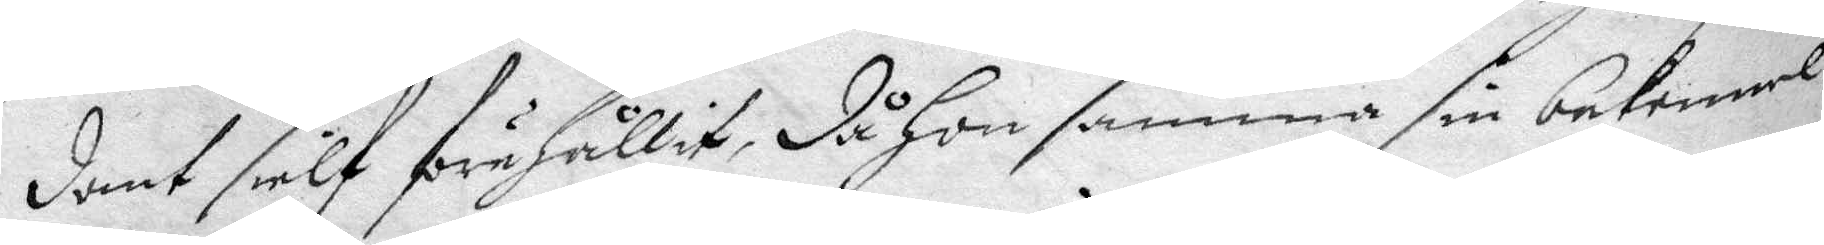dant sielf förehållit, då hon samma sin bekennel¬
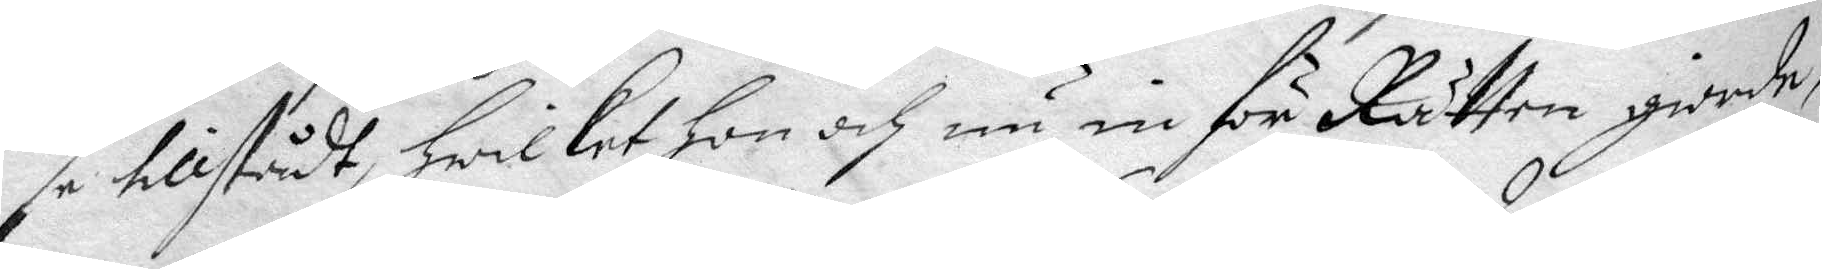se tillstådt, hwilket hon och nu inför Rätten giorde,
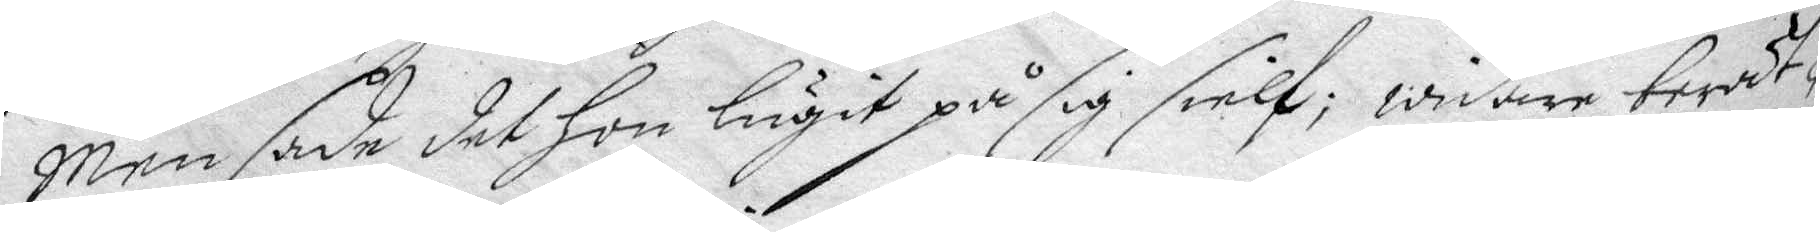Men sade det hon lugit på sig sielf, widare berät¬
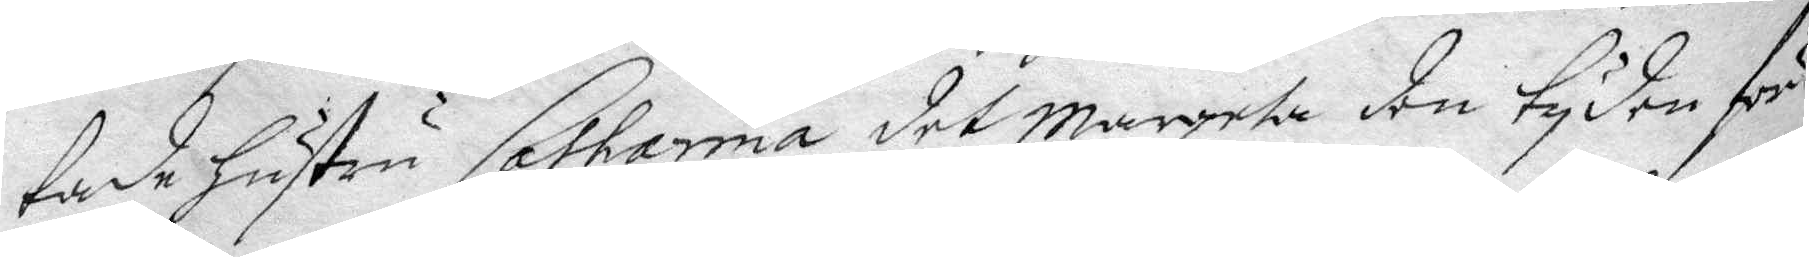tade hustru Catharina det Margeta den tyden för
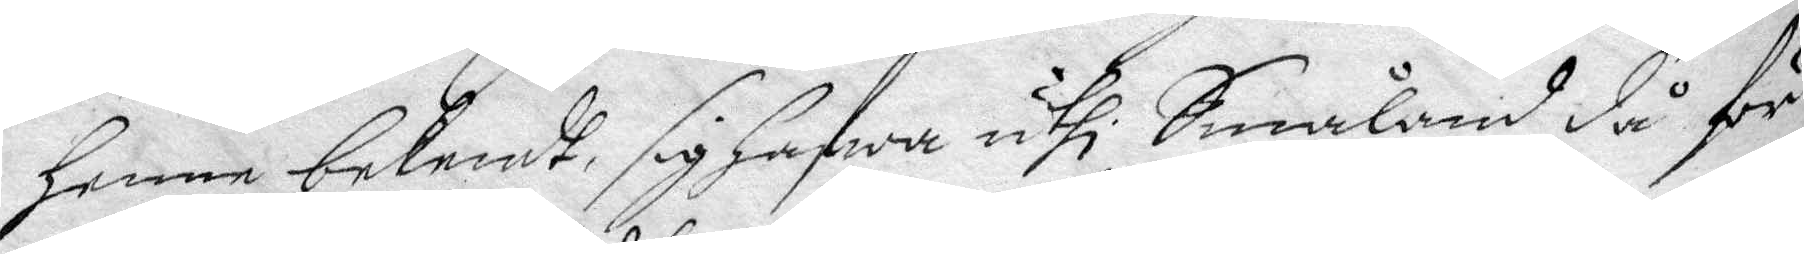henne bekendt, sig hafwa uthi Småland då för
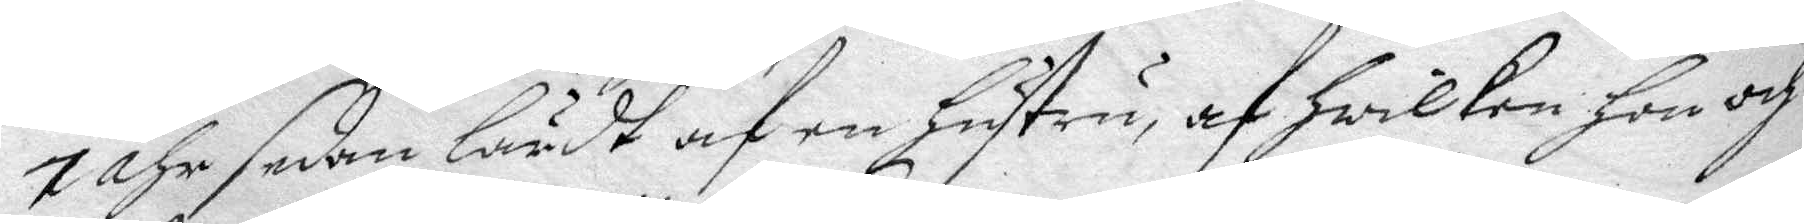7 åhr sedan lärdt af en hustru, af hwilken hon och
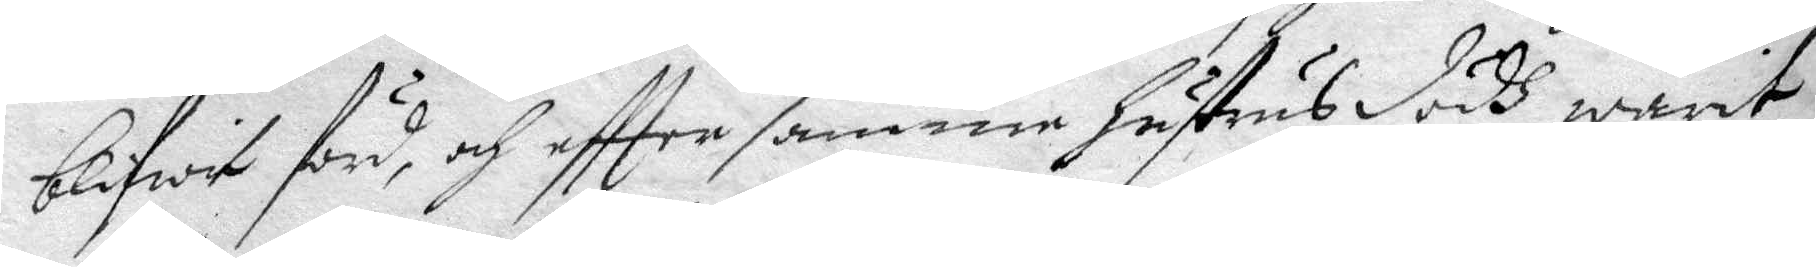blifwit förd, och eftter samme hustrus dödh warit
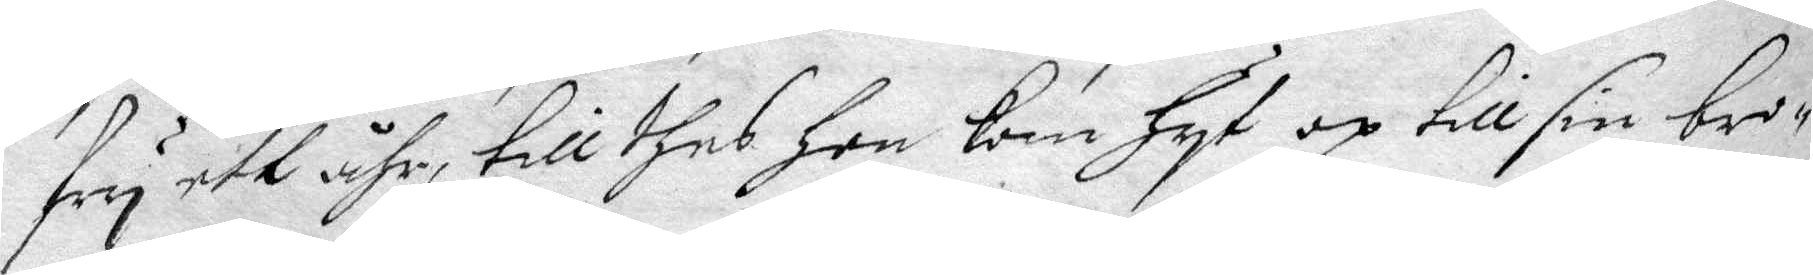fry ett åhr, till thes hon kom hyt op till sin bro¬
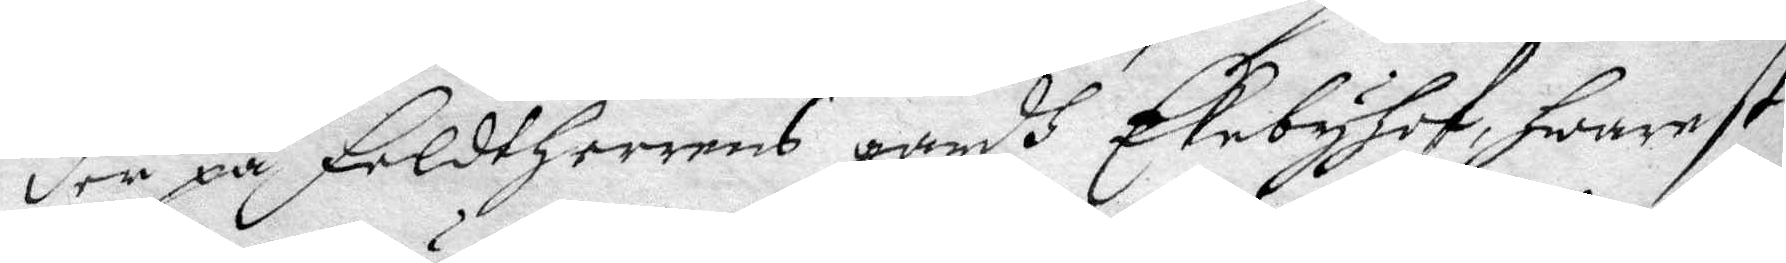der på Feldtherrens gårdh Ekebyhof, hwarest
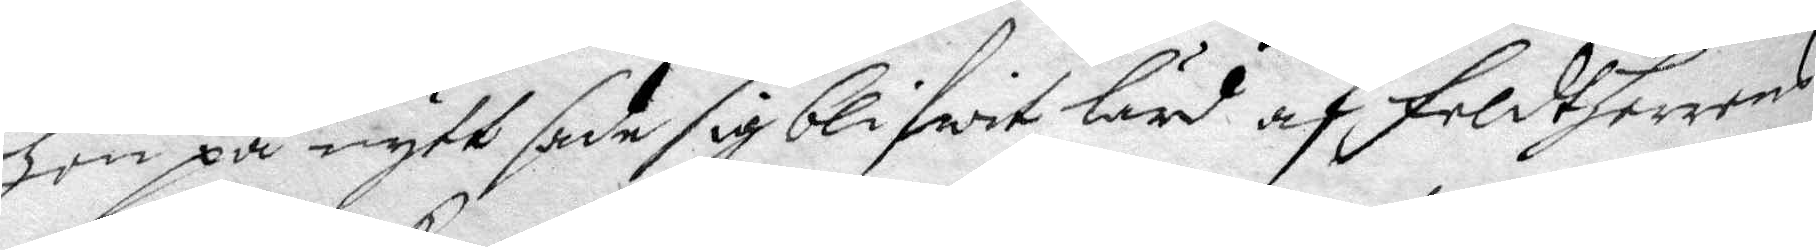hon på nytt sade sig blifwit lärd af Feldtherrens
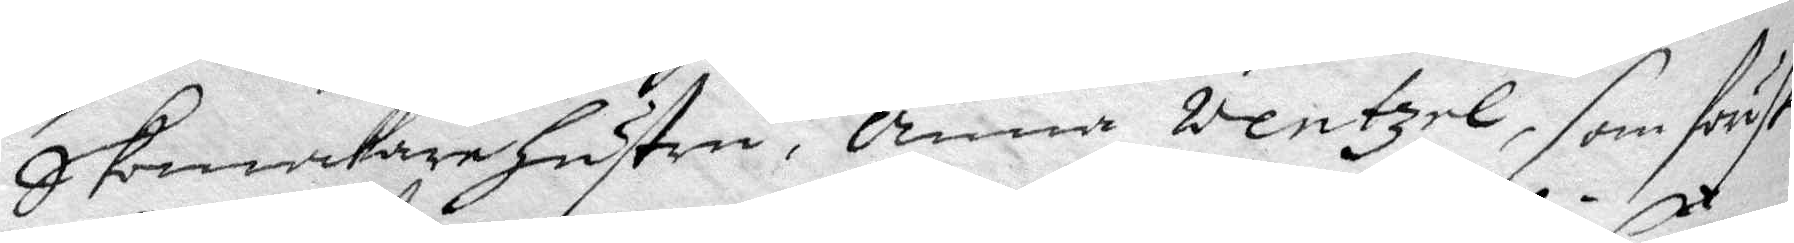Skomakarehustru, Anna Wentzel, som först
